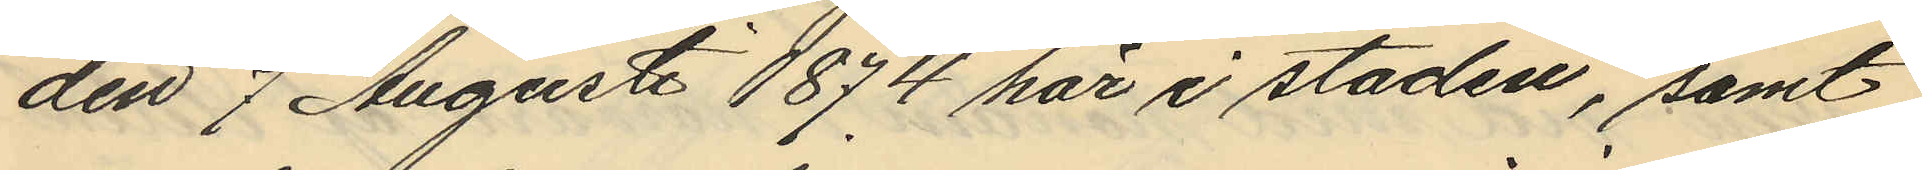den 7 Augusti 1874 här i staden, samt
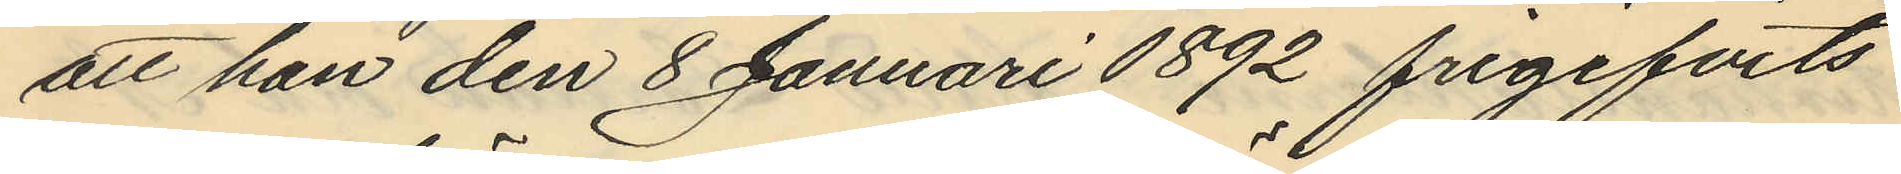att han den 8 Januari 1892 frigifvits
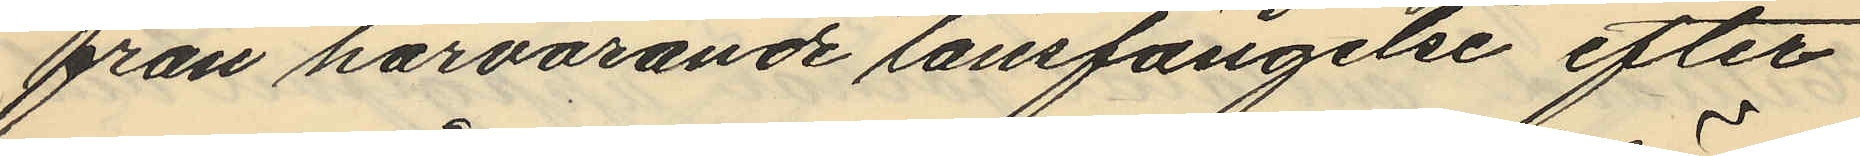från härvarande länsfängelse efter
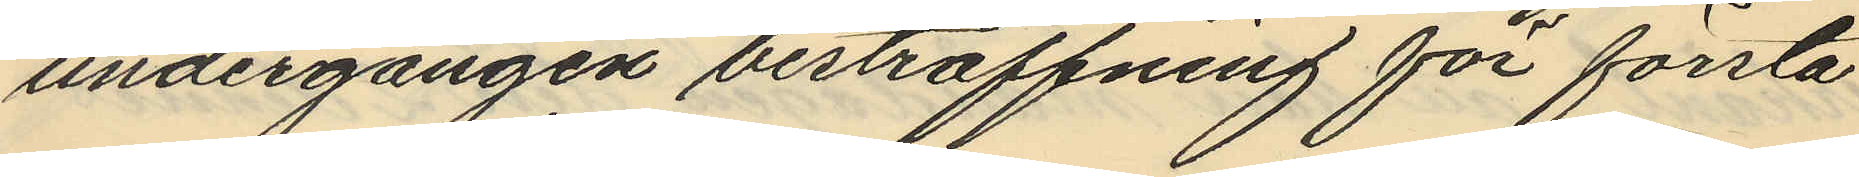undergången bestraffning för första
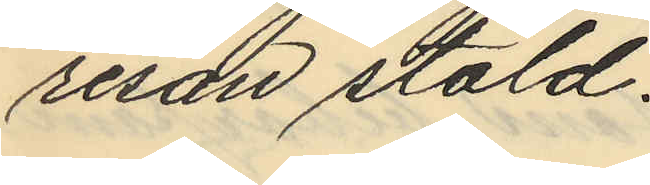resan stöld.
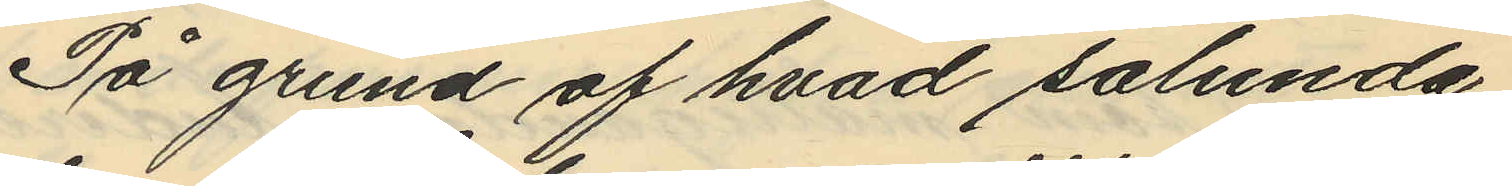På grund af hvad sålunda
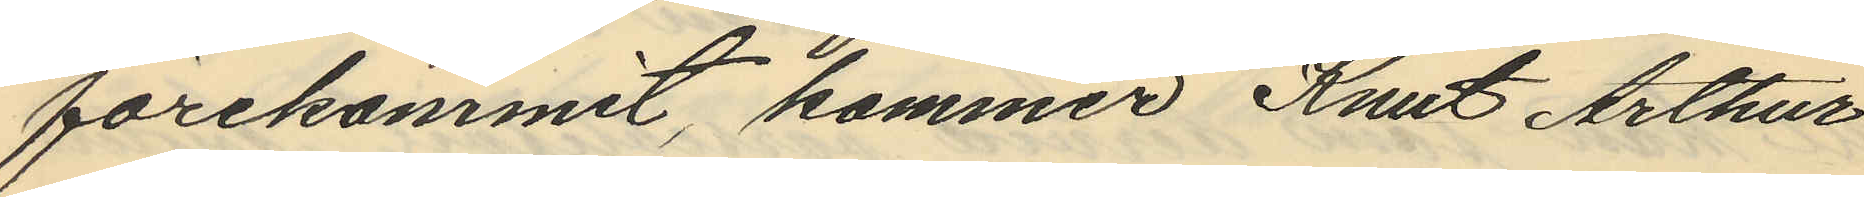förekommit, kommer Knut Arthur
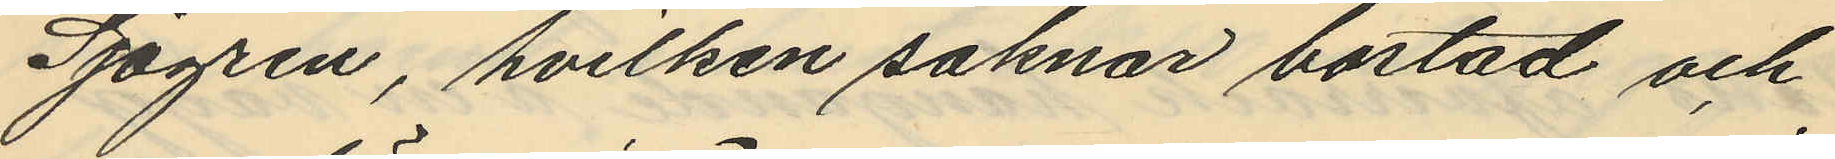Sjögren, hvilken saknar bostad och
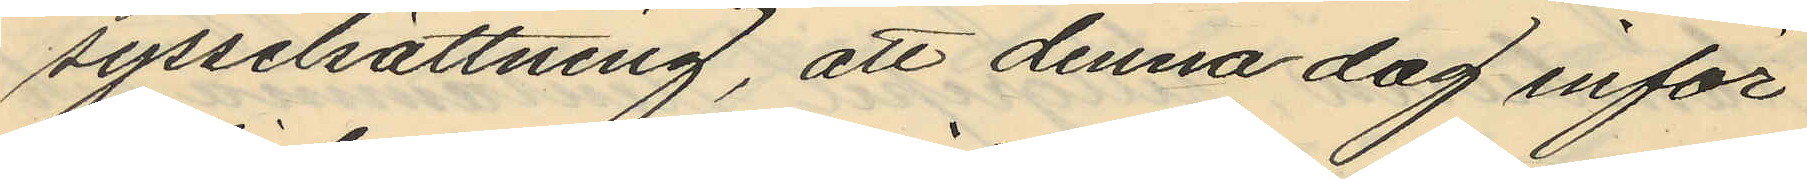sysselsättning, att denna dag inför
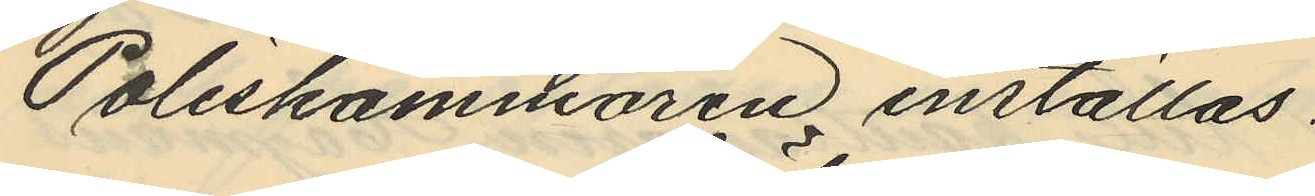Poliskammaren inställas.
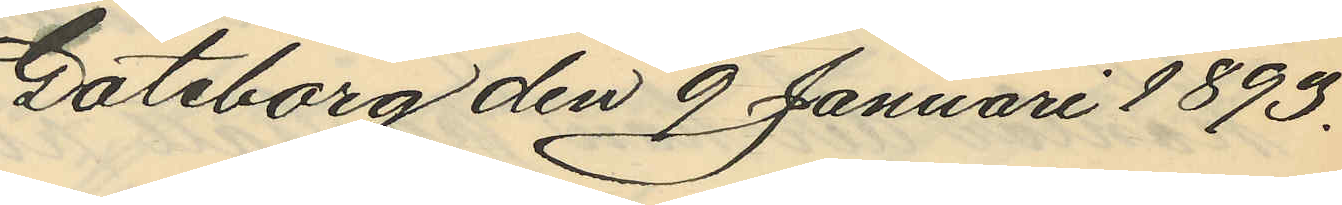Göteborg den 9 Januari 1893.
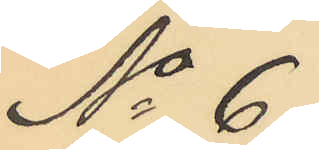No 6.
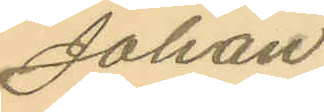Johan
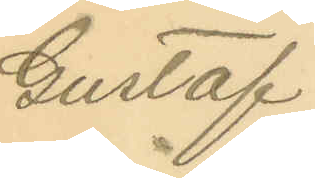Gustaf
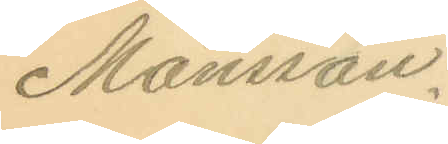Månsson.
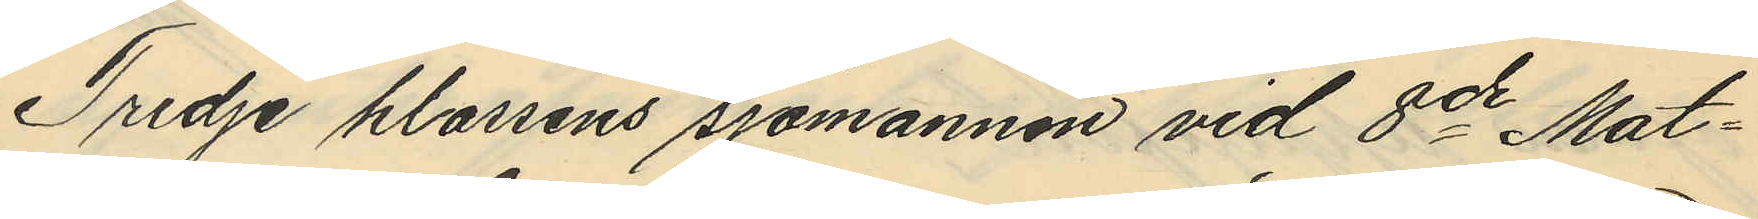Tredje klassens sjömannen vid 8de Mat¬
